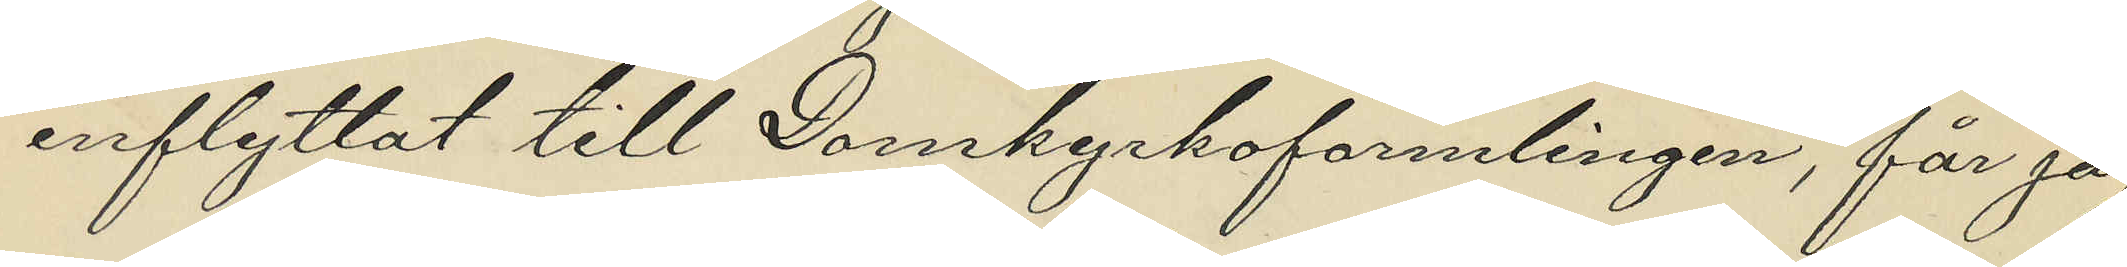inflyttat till Domkyrkoförsamlingen, får jag
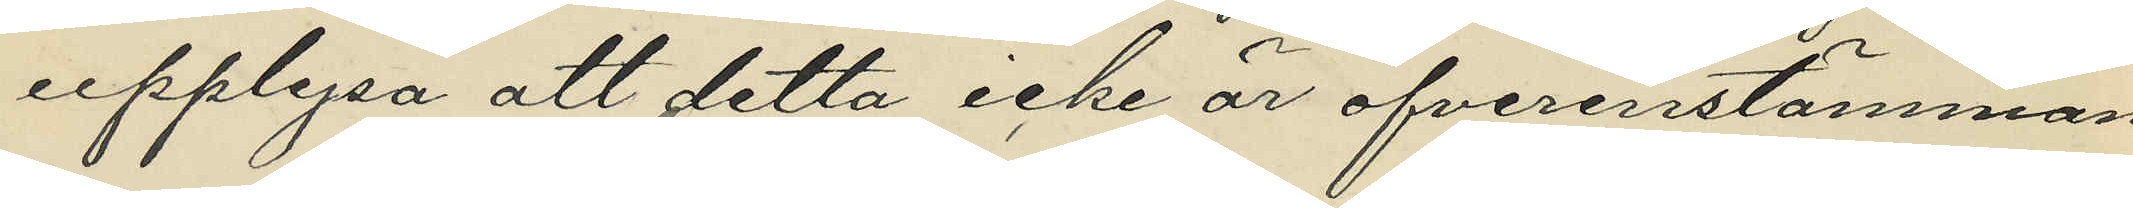upplysa att detta icke är öfverensstämman¬
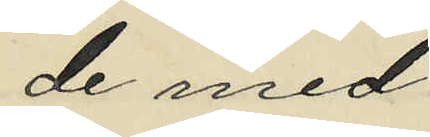de med
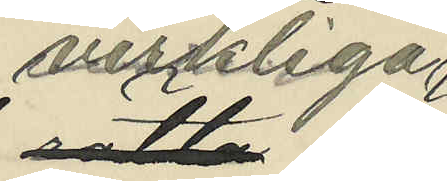verkliga
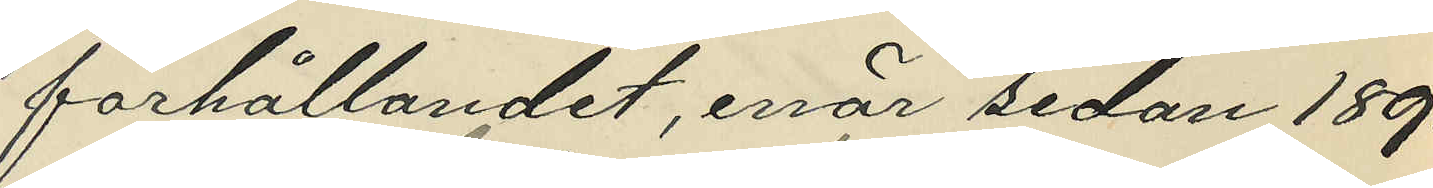förhållandet, enär sedan 1890
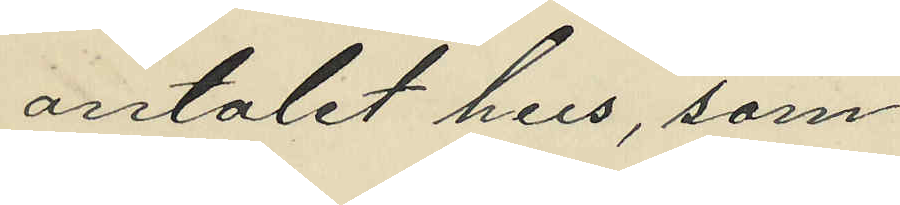antalet hus, som
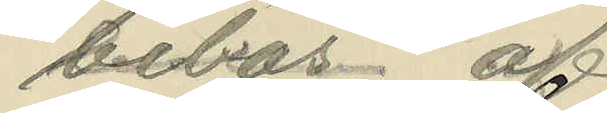bebos af
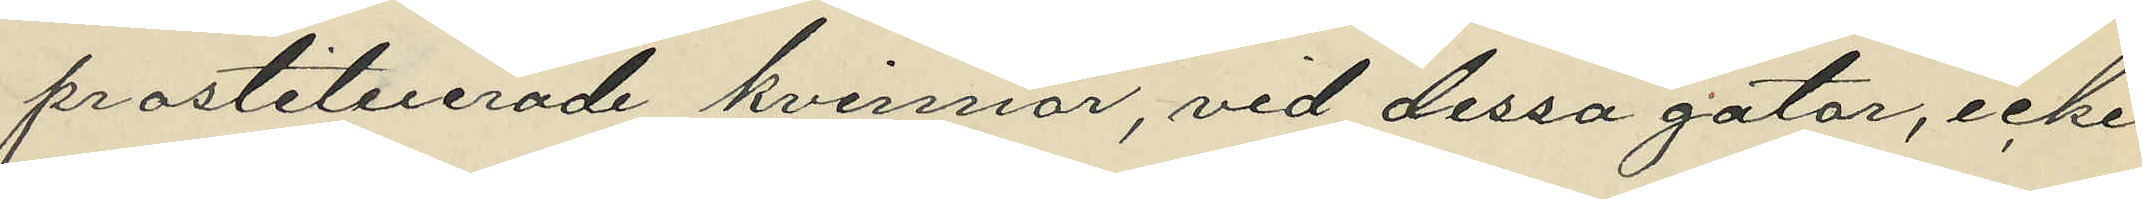prostituerade kvinnor, vid dessa gator, icke
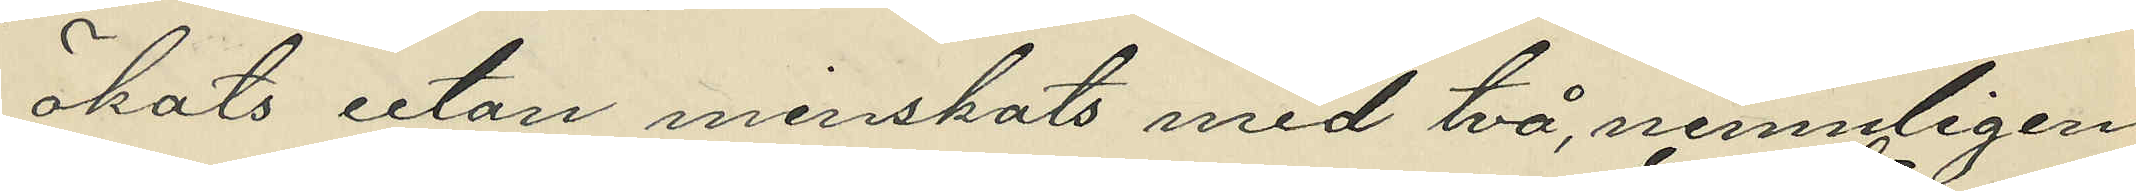ökats utan minskats med två, nemnligen:
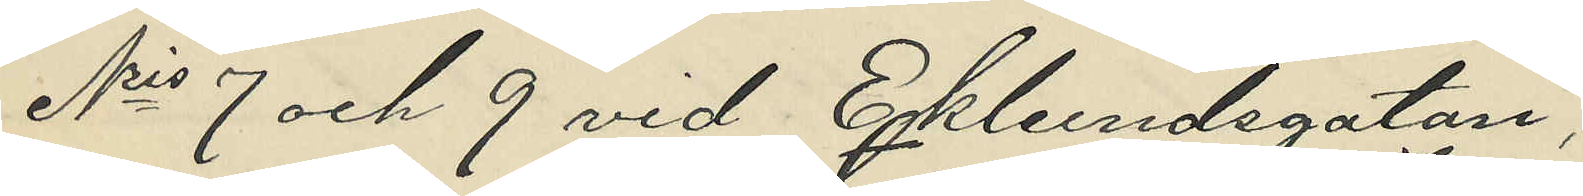Nris 7 och 9 vid Eklundsgatan, 
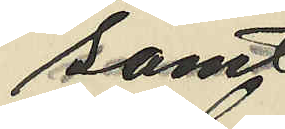samt
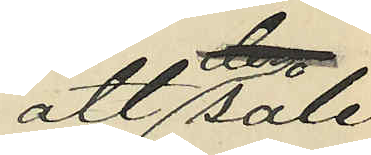att såle¬
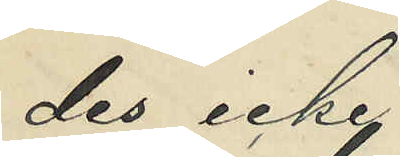des icke
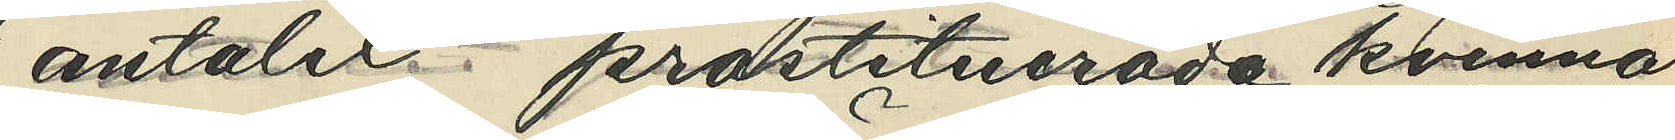antalet prostituerade kvinnor
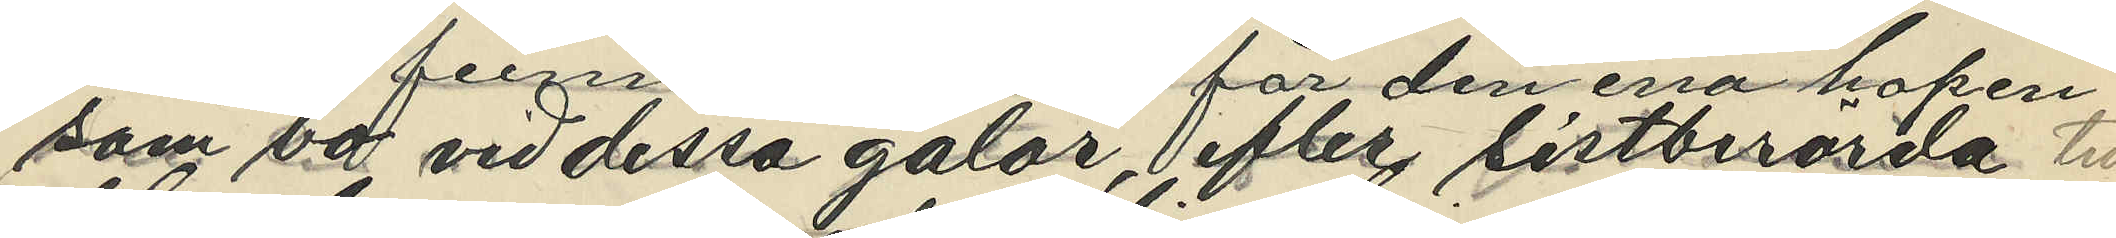som bo vid dessa gator, efter sistberörda tid 
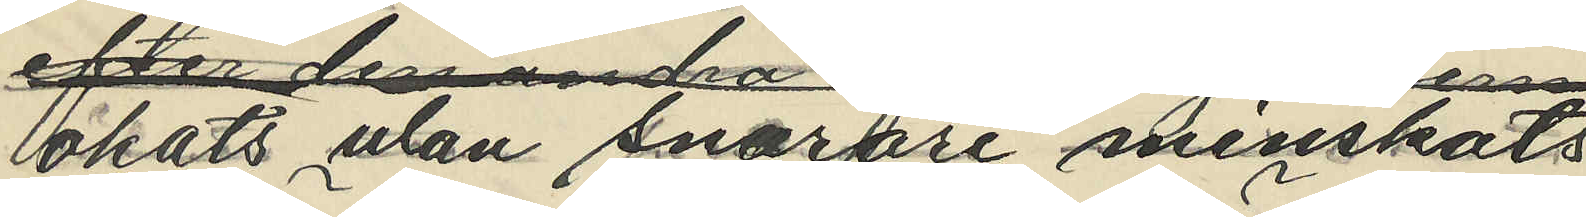ökats utan snarare minskats
